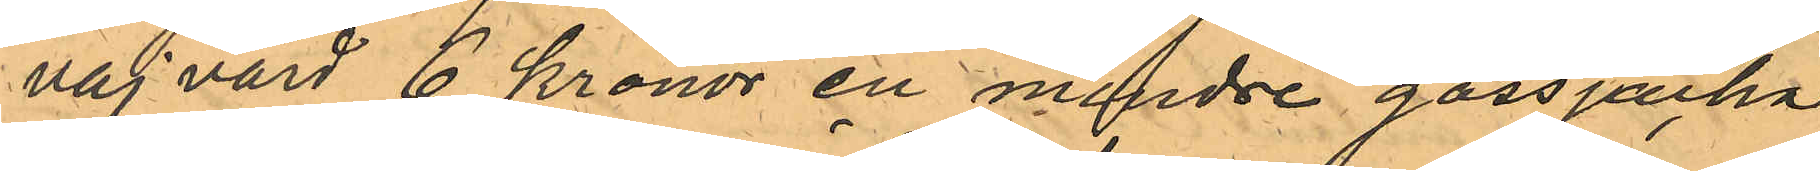vaj värd 6 kronor en mindre gossjacka
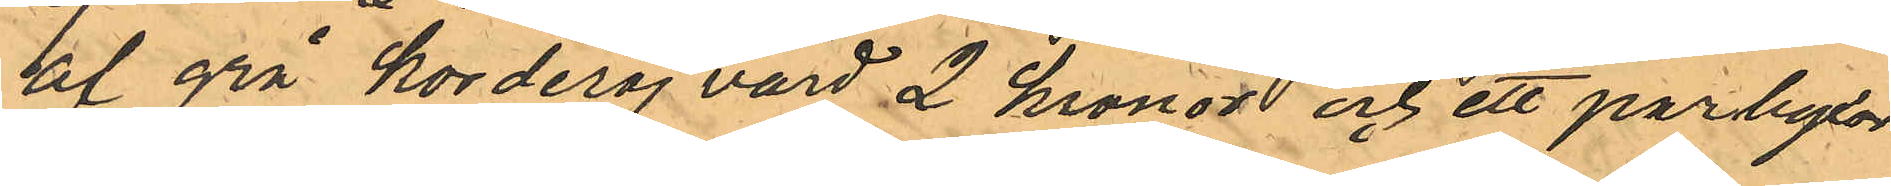af grå korderoj värd 2 kronor och ett par byxor
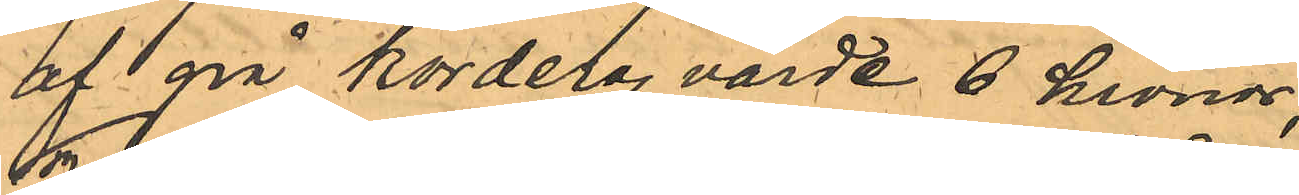af grå korderoj värde 6 kronor;
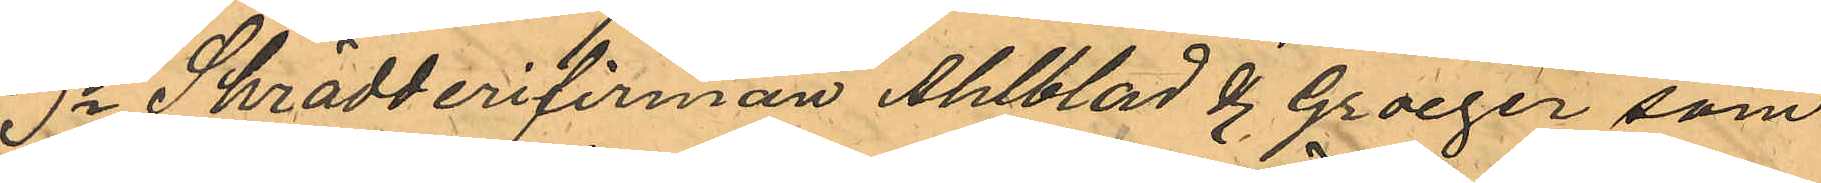3o Skrädderifirman Ahlblad & Groeger som
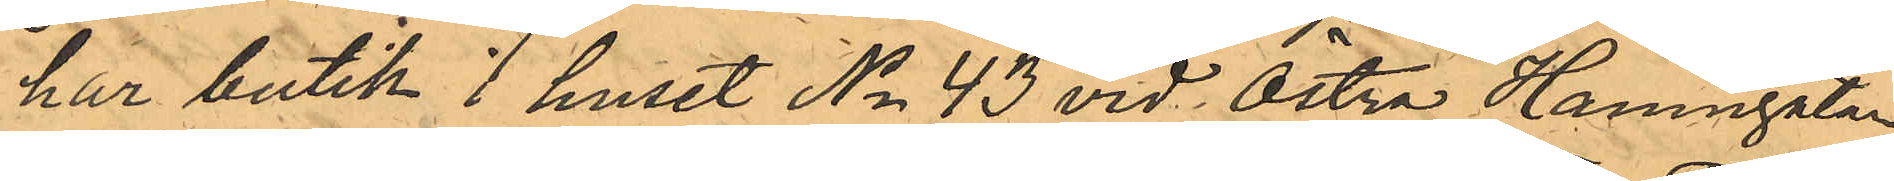har butik i huset No 43 vid Östra Hamngatan
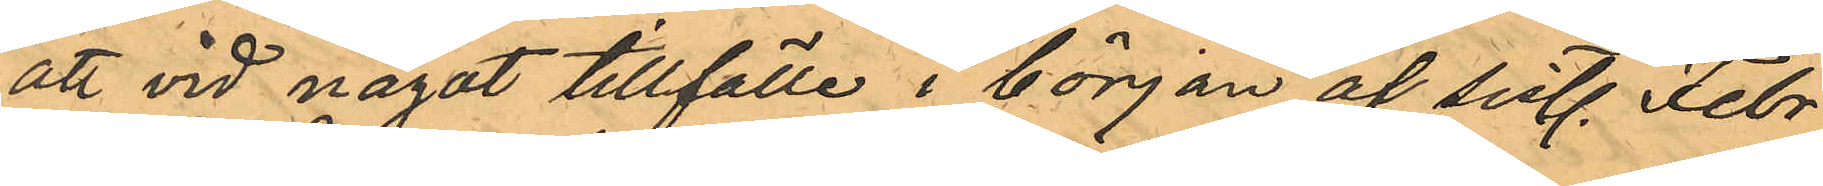att vid något tillfälle i början af sistl. Febr.
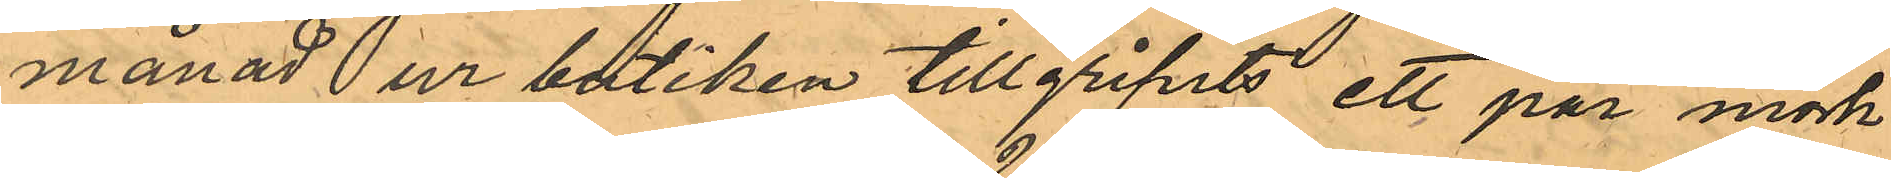månad ur butiken tillgripits ett par mörk¬
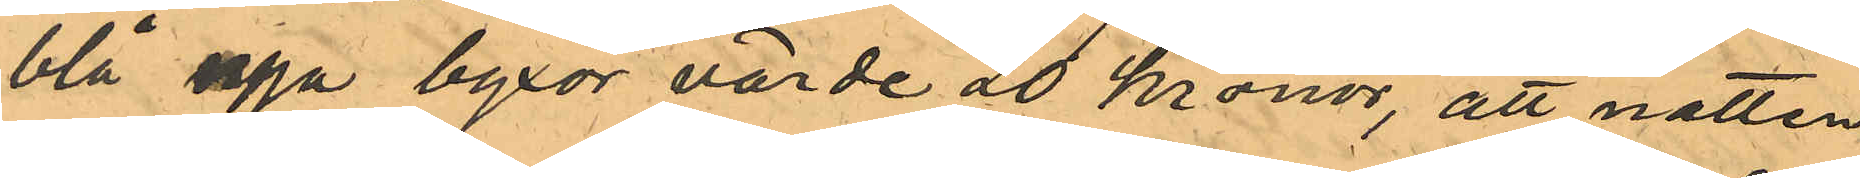blå nya byxor värde 20 kronor, att natten
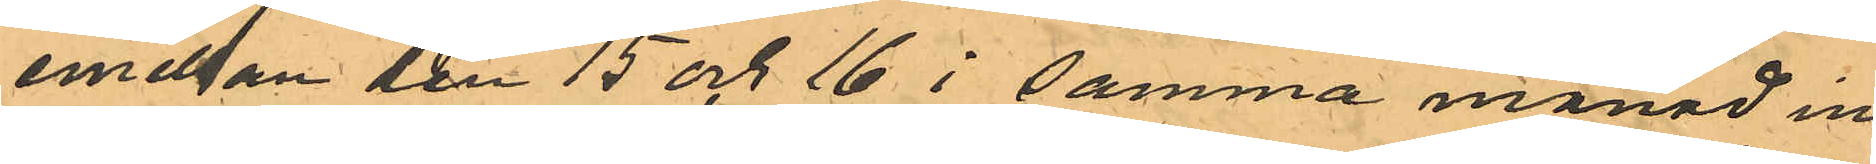emellan den 15 och 16 i samma månad in¬
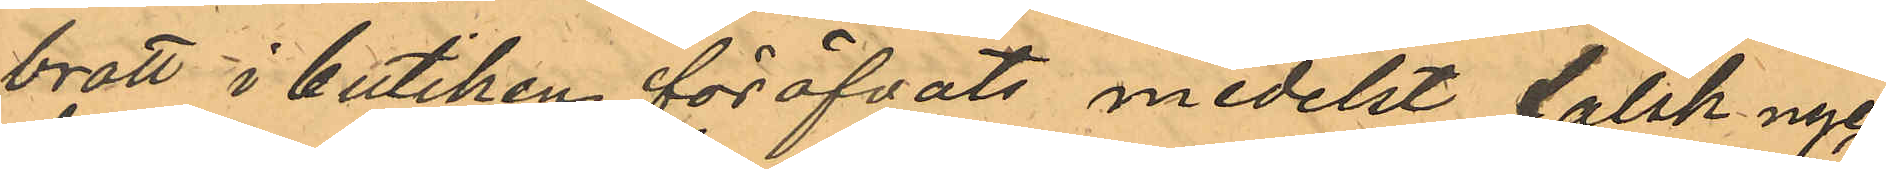brott i butiken föröfvats medelst falsk nyc¬
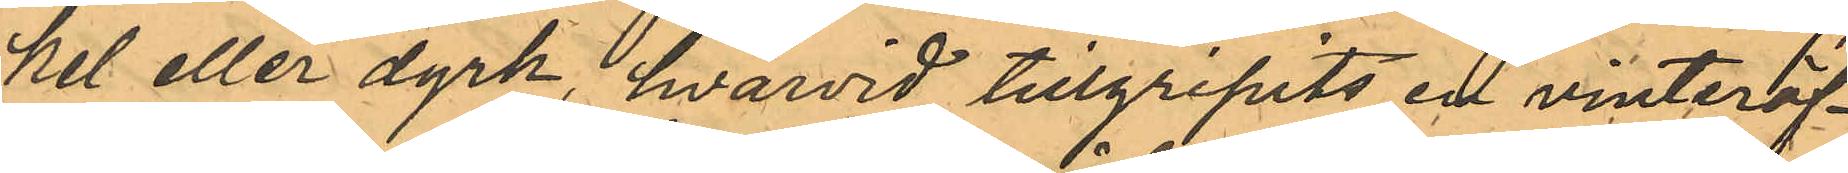kel eller dyrk, hvarvid tillgripits en vinteröf¬
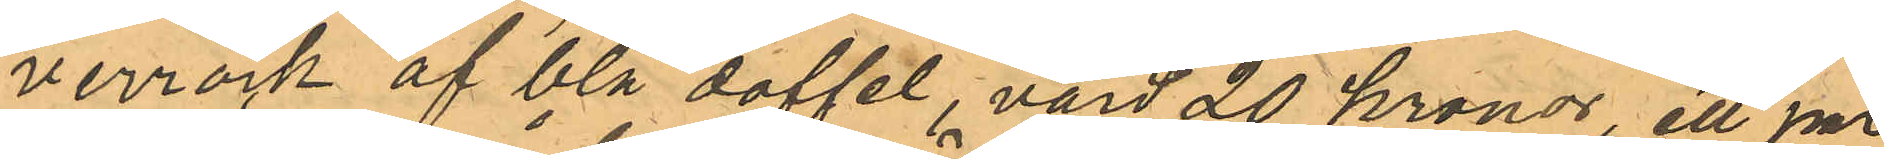verrock af blå doffel, värd 20 kronor, ett par
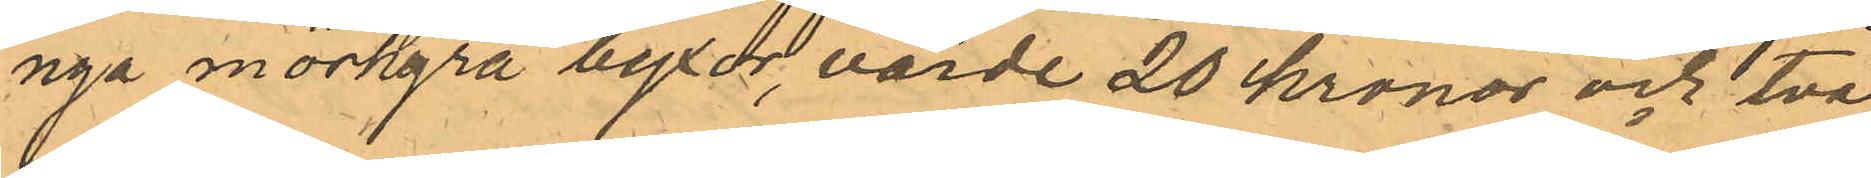nya mörkgrå byxor, värde 20 kronor och två
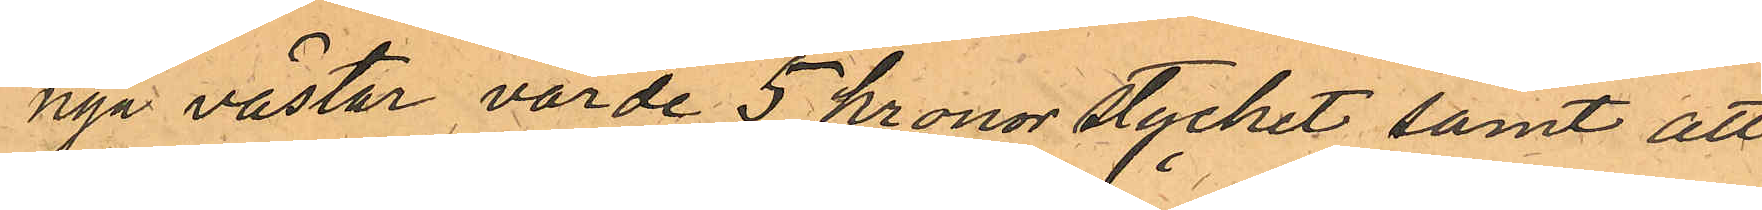nya västar värde 5 kronor stycket samt att
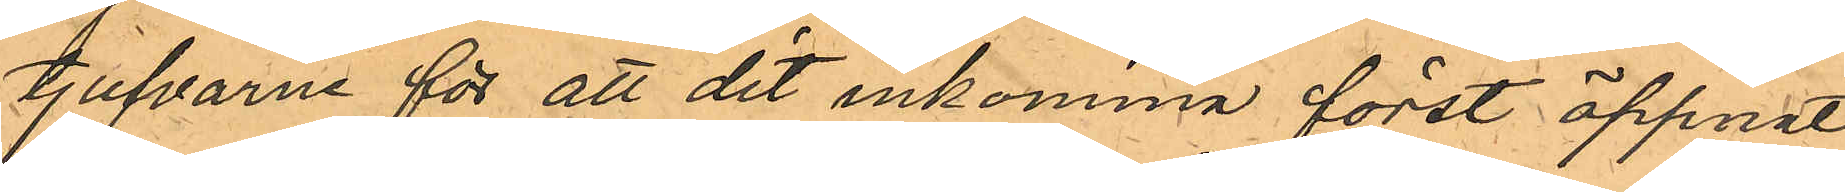tjufvarne för att dit inkomma först öppnat 
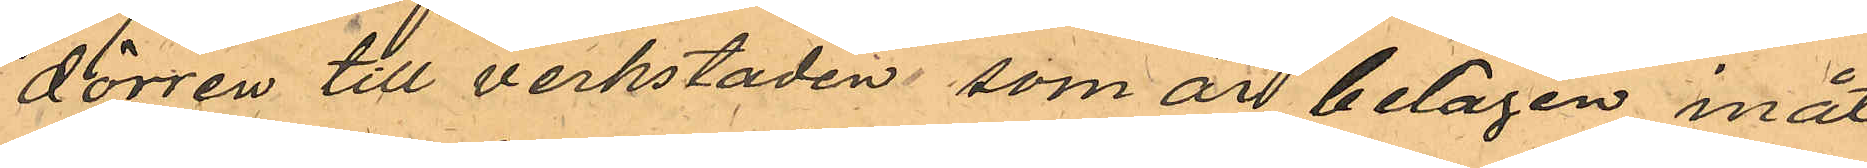dörren till verkstaden som är belägen inåt
